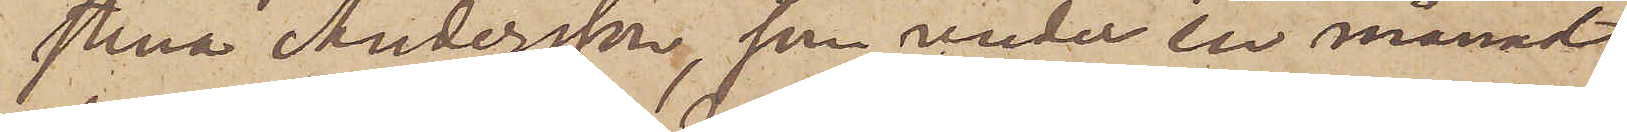stina Andersson, som under en månad
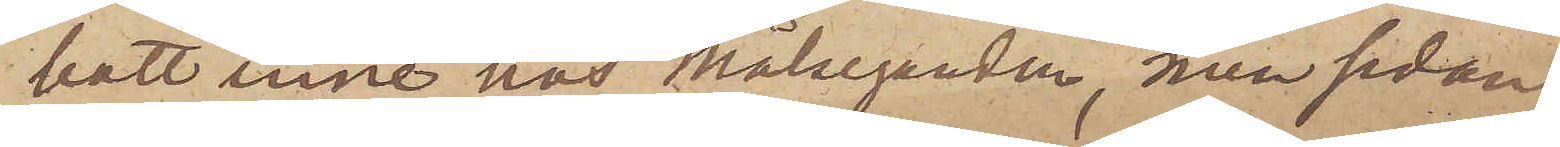bott inne hos Målseganden, men sedan
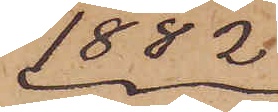1882
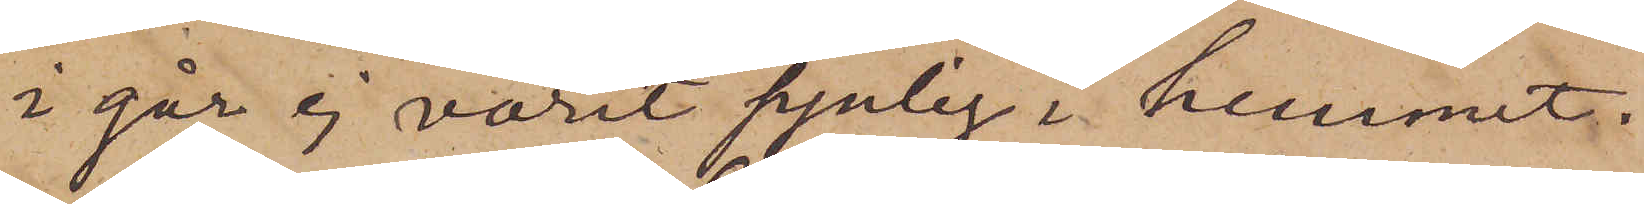i går ej varit synlig i hemmet.
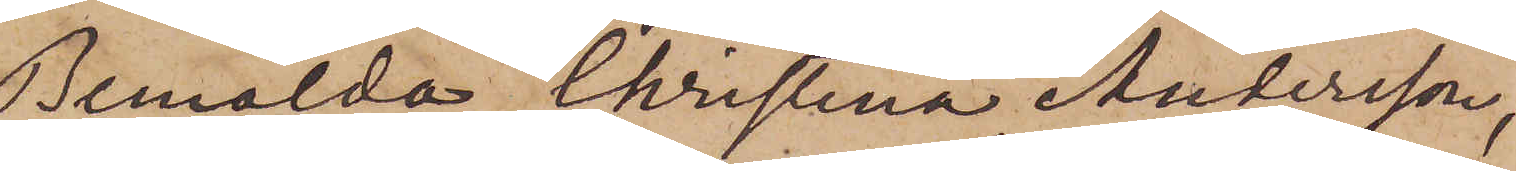Bemälda Christina Andersson,
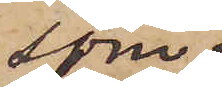som
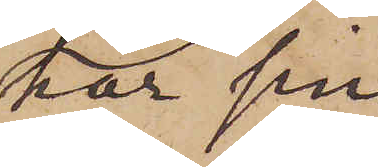har sin
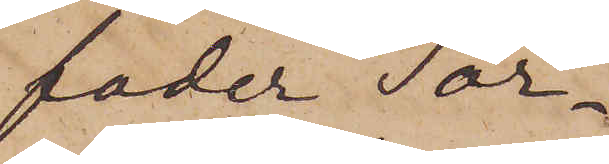fader Tor¬
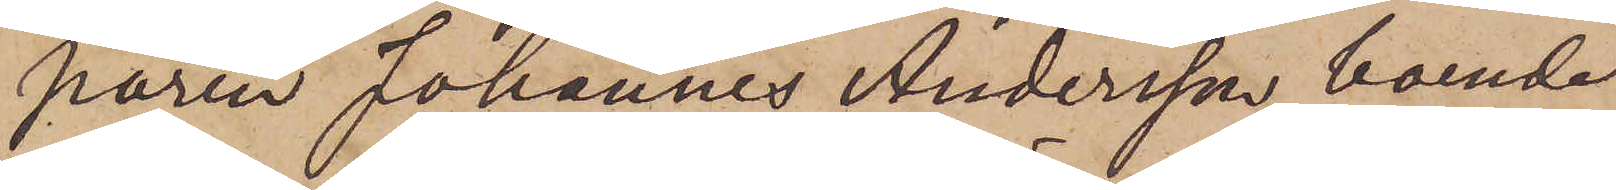paren Johannes Andersson boende
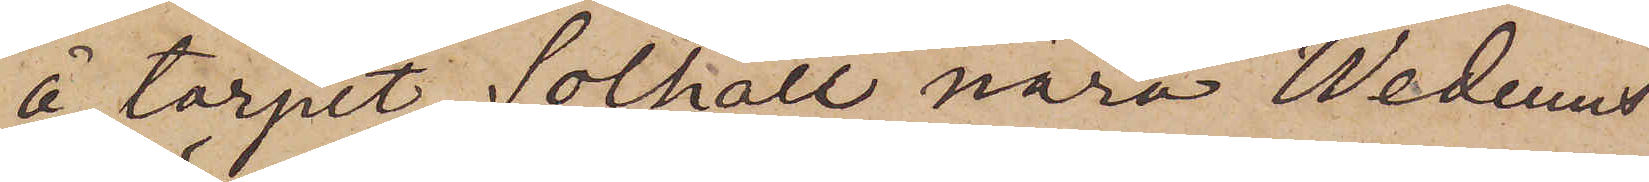å torpet Solhall nära Wedums
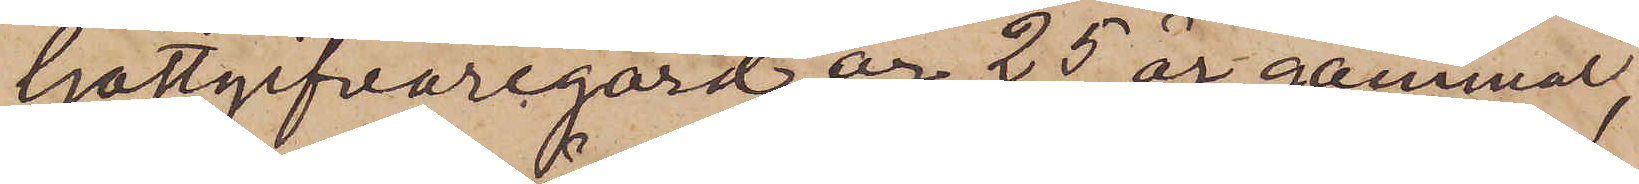Gästgifvaregård, är 25 år gammal,
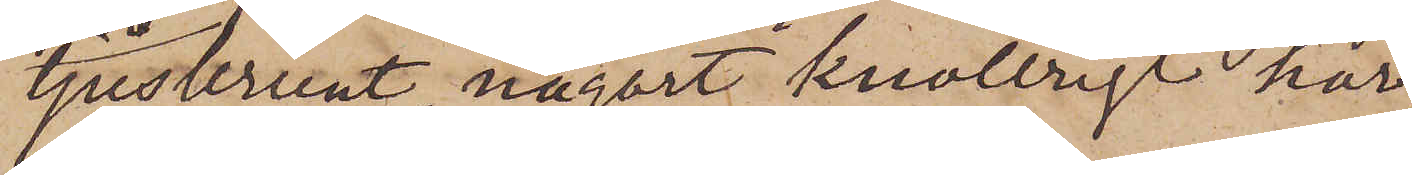ljusbrunt, någort knollrigt hår
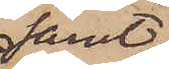samt
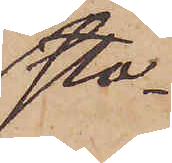sto¬
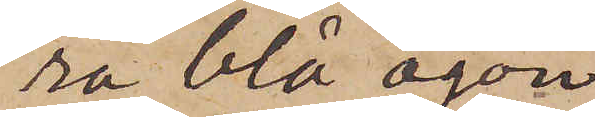ra blå ögon
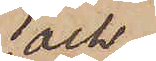och
